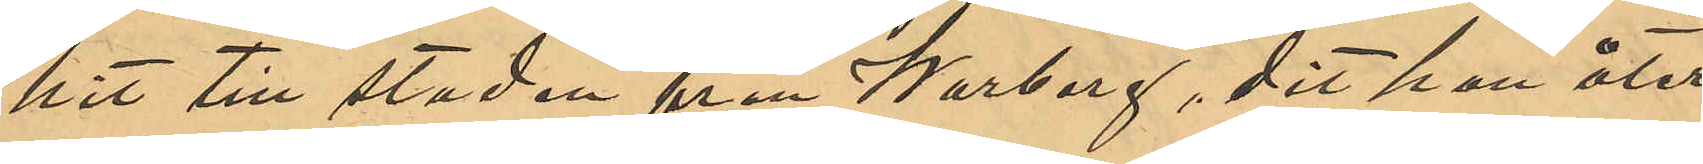hit till staden från Warberg, dit han åter¬
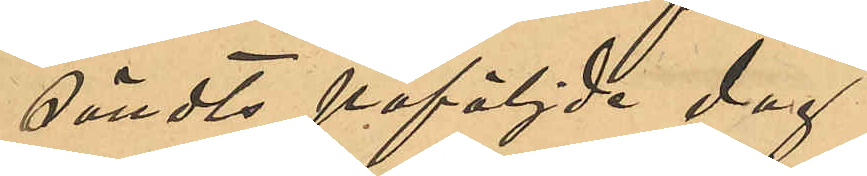sändts påföljde dag.
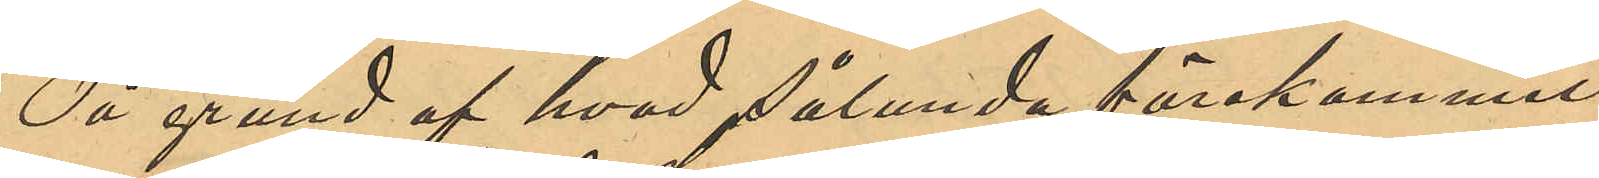På grund af hvad sålunda förekommit
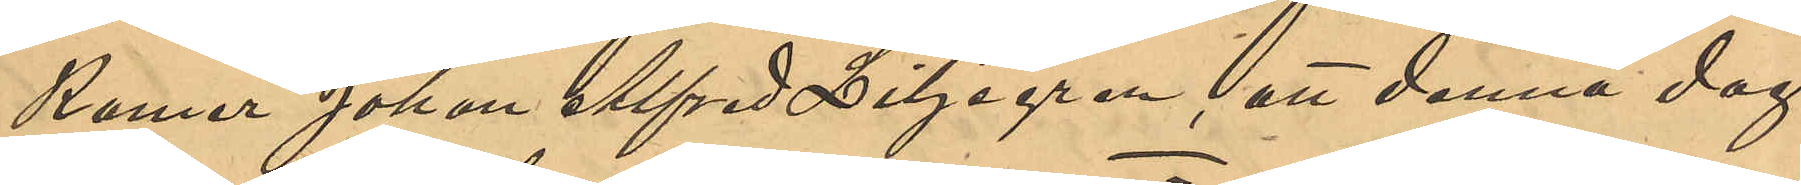kommer Johan Alfred Liljegren att denna dag
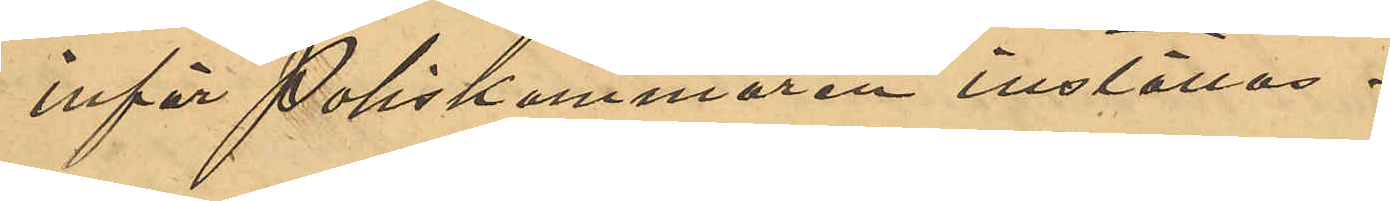inför Poliskammaren inställas.
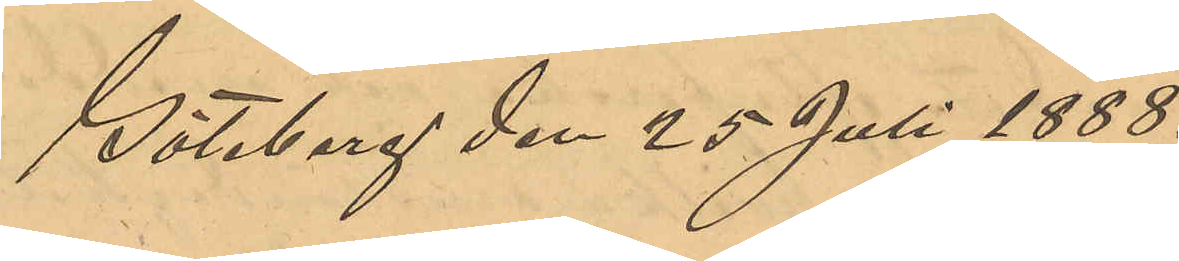Göteborg den 25 Juli 1888.
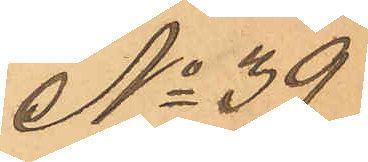No 39
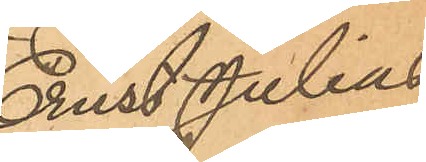Ernst Julius
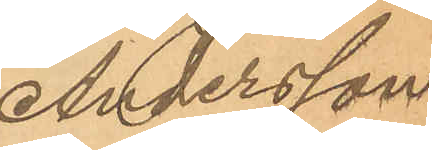Andersson
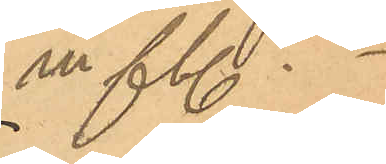m fl.
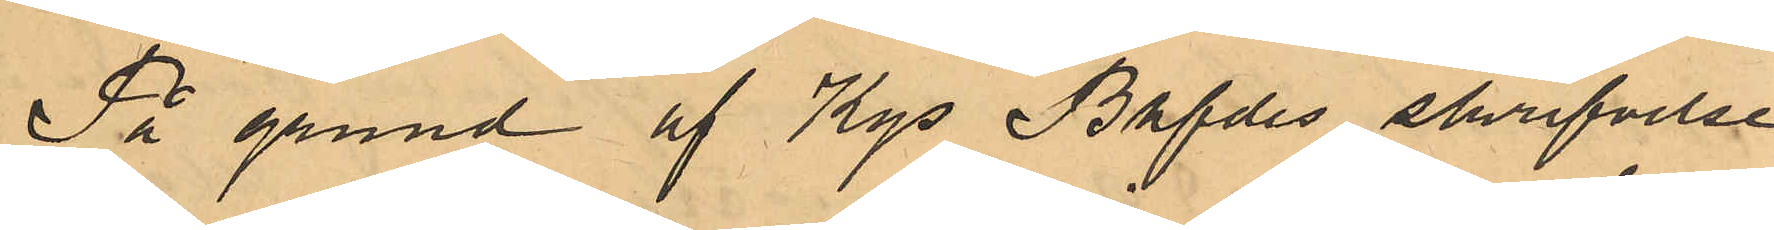På grund af Kgs Bhfdes skrifvelse
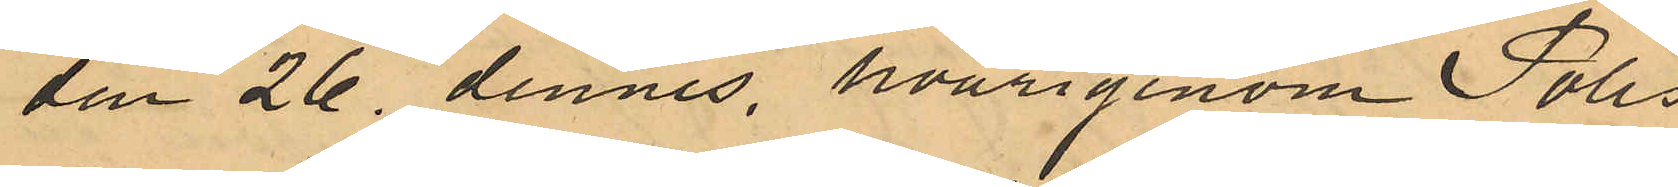den 26 dennes, hvarigenom Polis¬
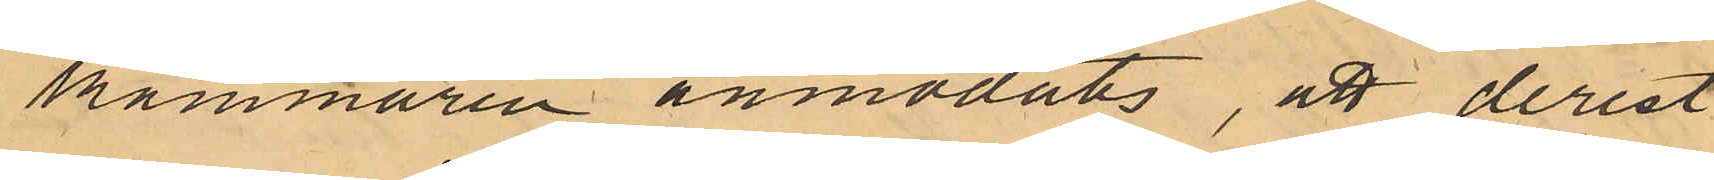kammaren anmodats, att derest
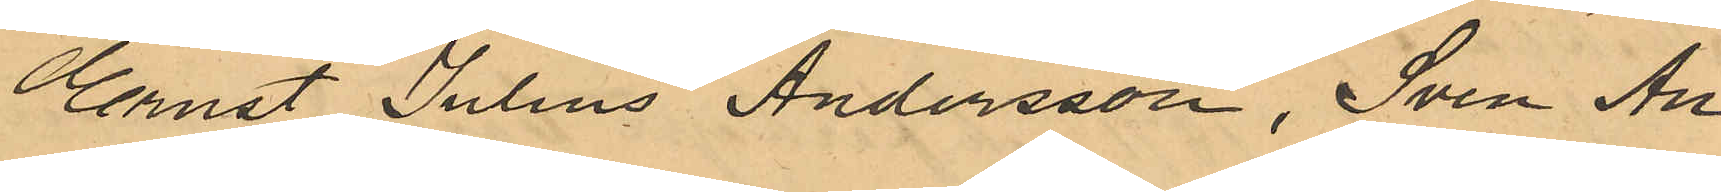Ernst Julius Andersson, Sven An¬
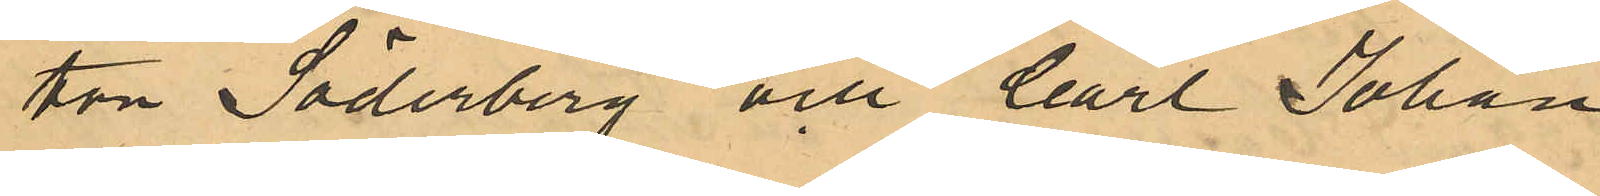ton Söderberg och Carl Johan
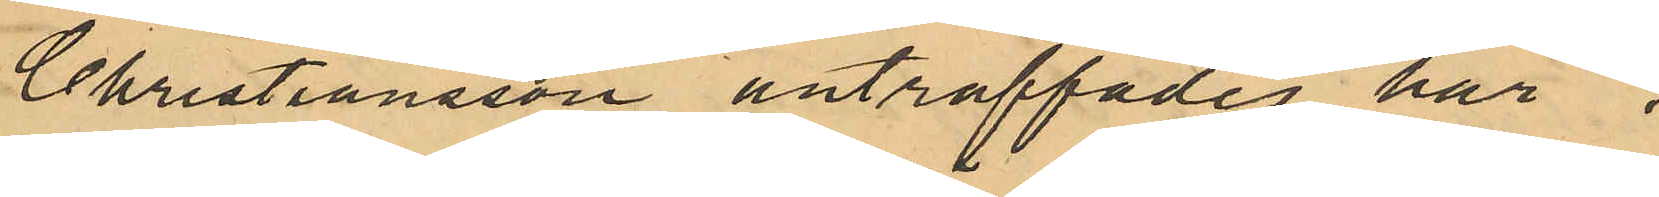Christiansson anträffades här i 
